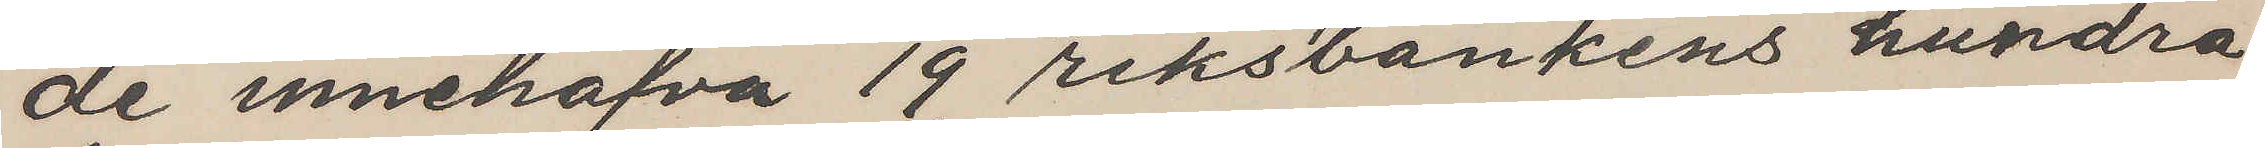de innehafva 19 riksbankens hundra
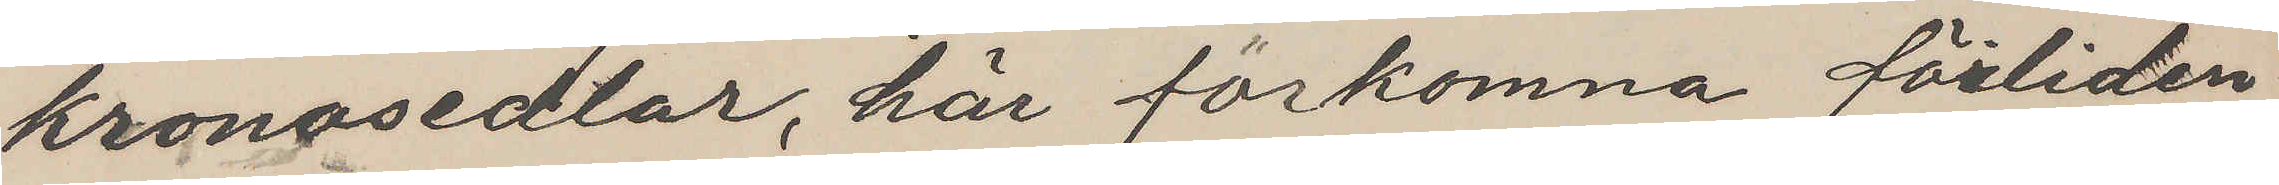kronosedlar, här förkomna förliden
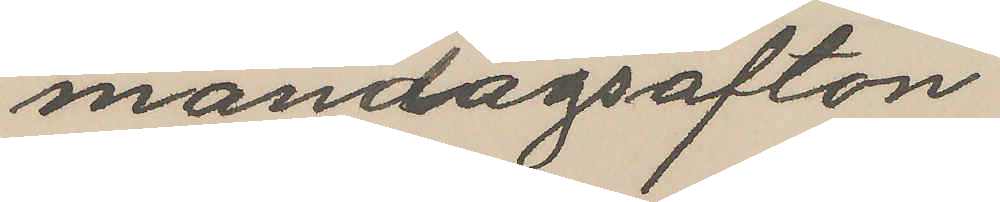måndagsafton
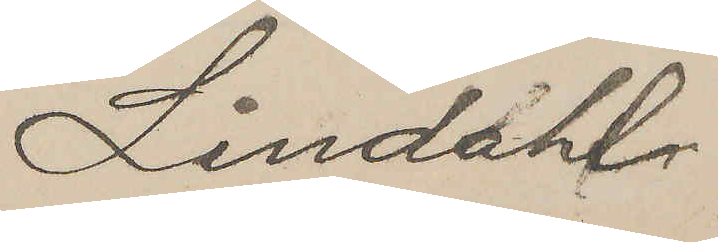Lindahl
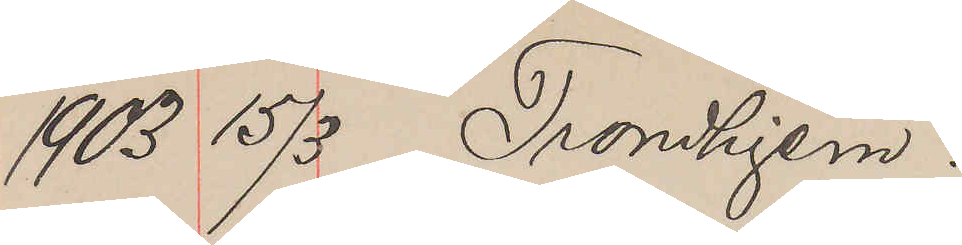1903 17/3 Tronhjem.
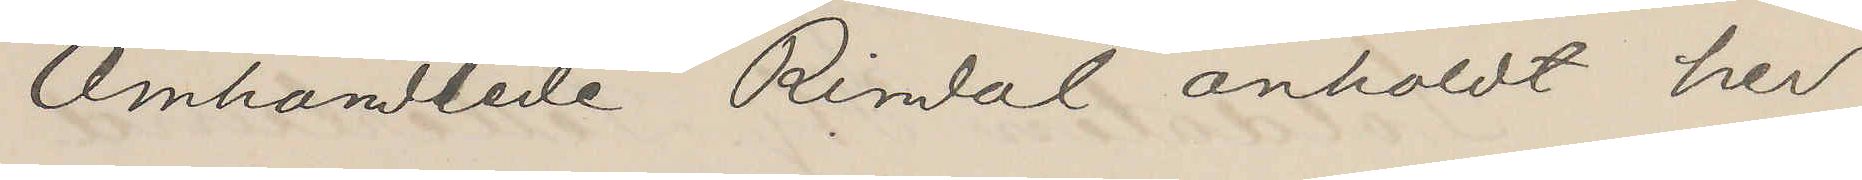Omhandlede Rindal anholdt her
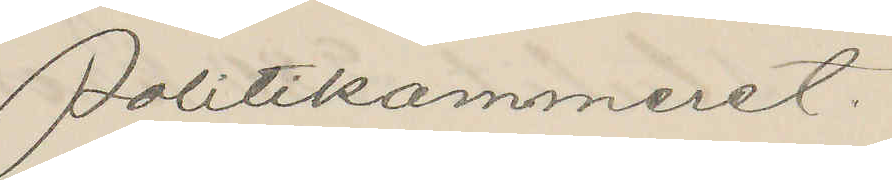Politikammeret.
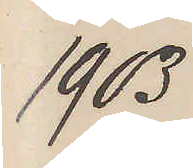1903
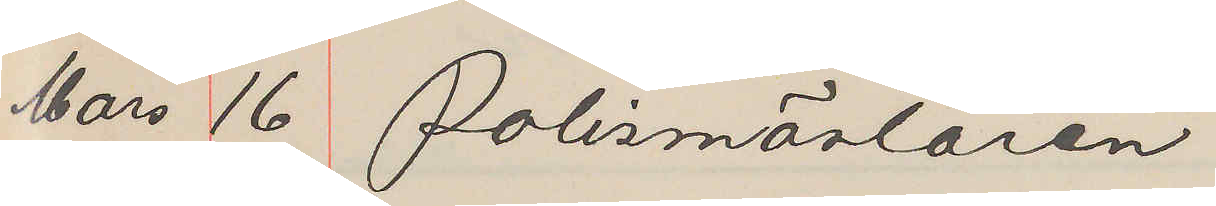Mars 16 Polismästaren
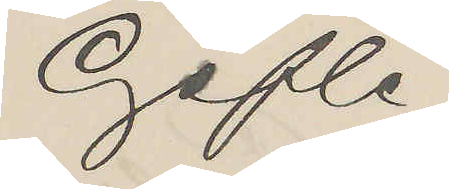Gefle
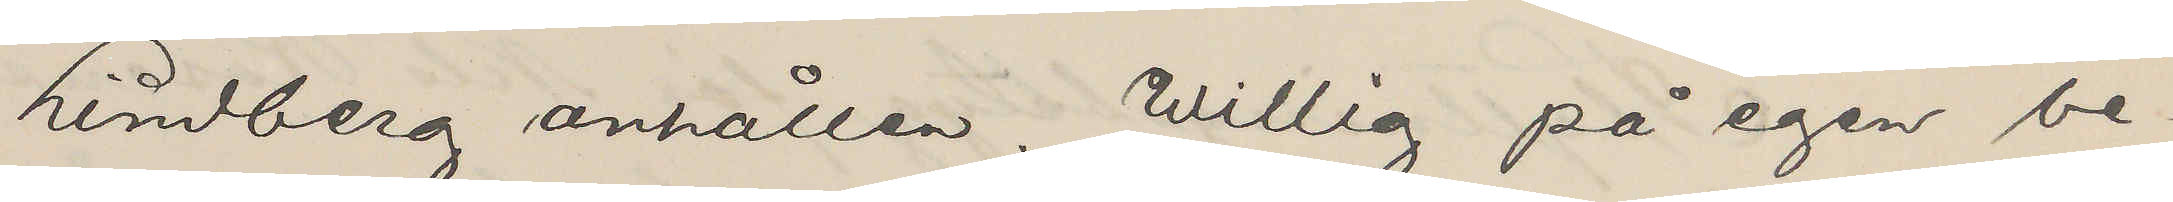Lindberg anhållen. Willig på egen be¬
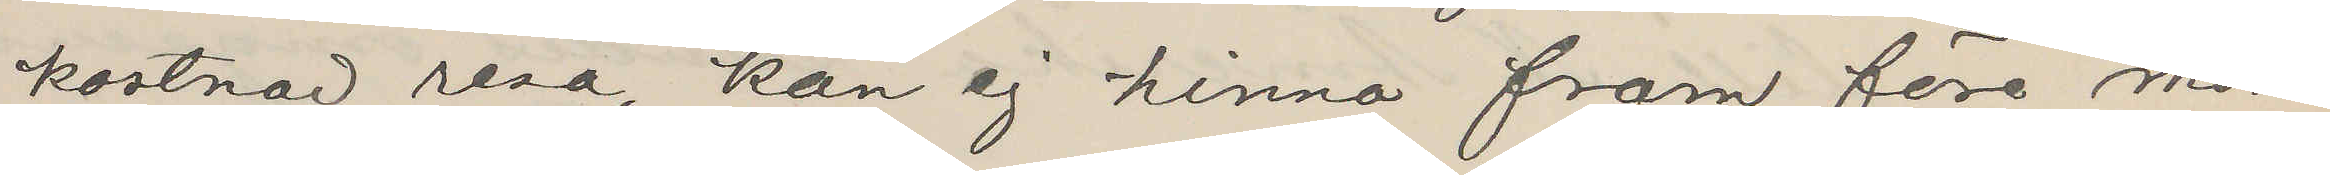kostnad resa, kan ej hinna fram före mor¬
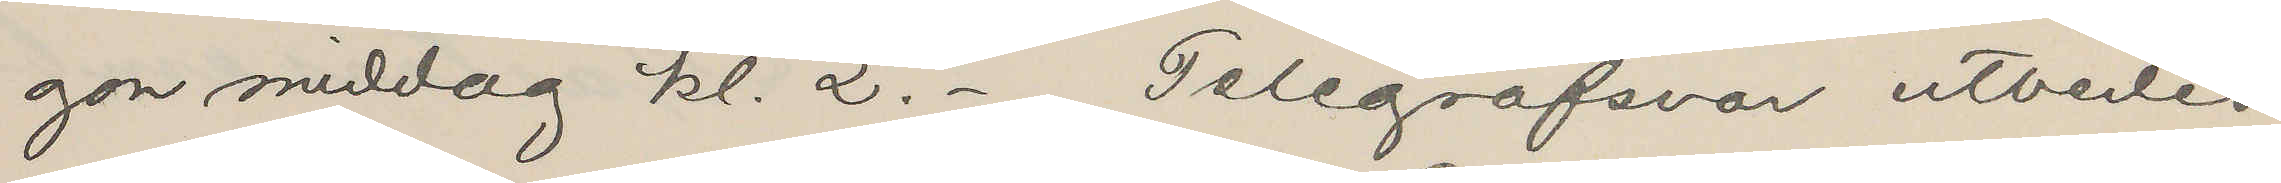gon middag kl. 2.- Telegrafsvar utbedes
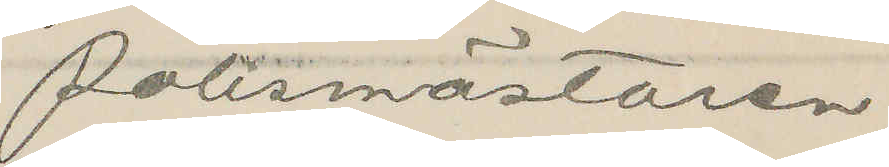Polismästaren
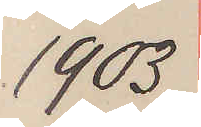1903
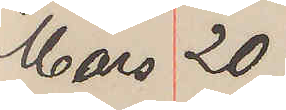Mars 20
